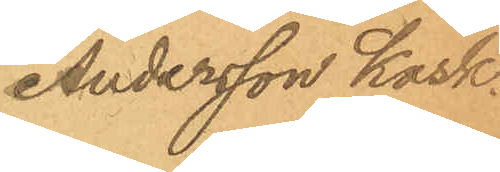Andersson Kask.
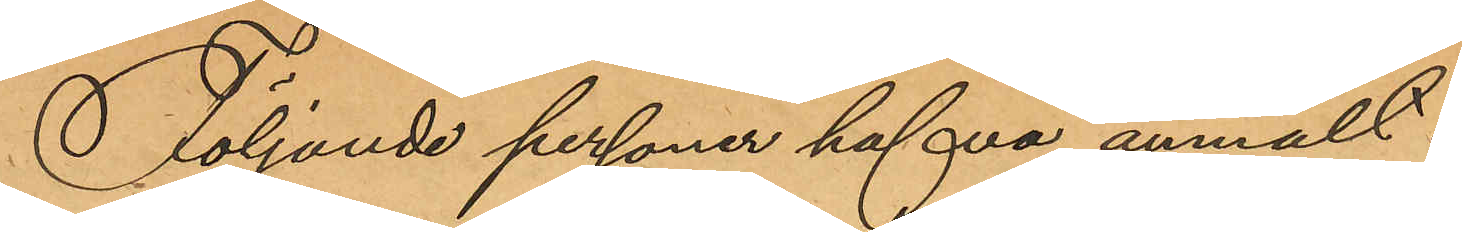Följande personer hafva anmält:
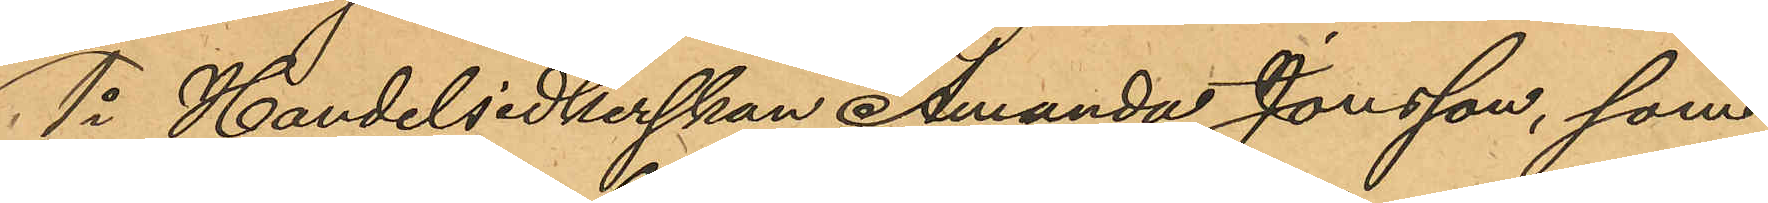1o Handelsidkerskan Amanda Jonsson, som
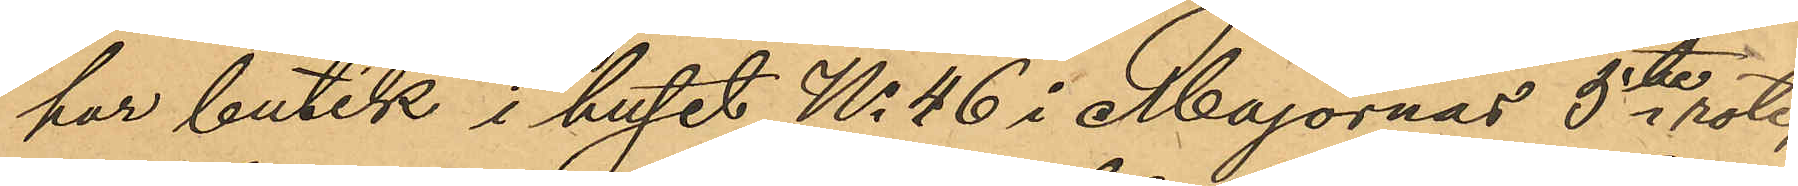har butik i huset No 46 i Majornas 5te rote,
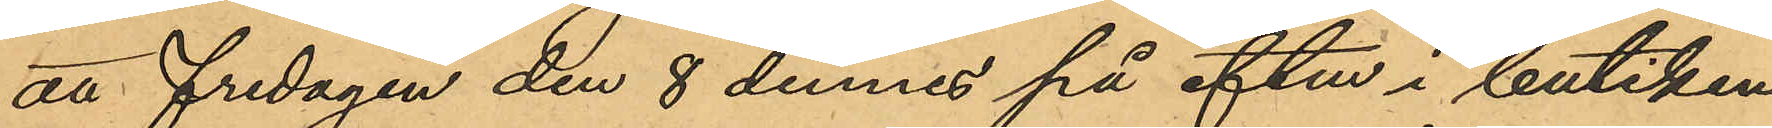att fredagen den 8 dennes på eftm i butiken
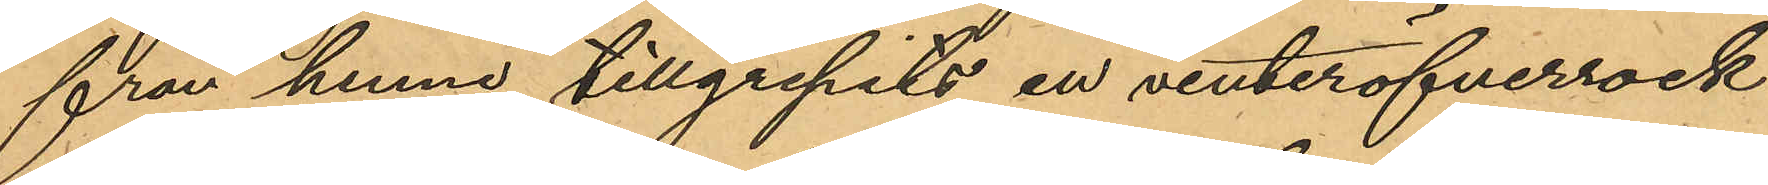från henne tillgripits en vinteröfverrock
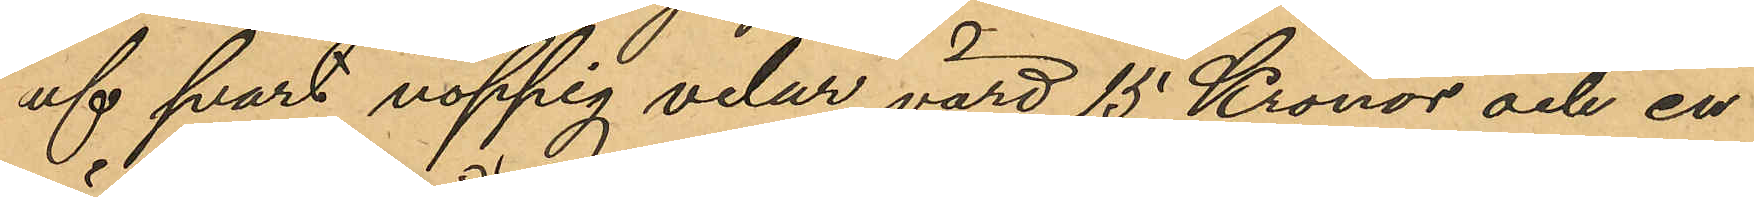af svart noppig velur, värd 15 Kronor och en
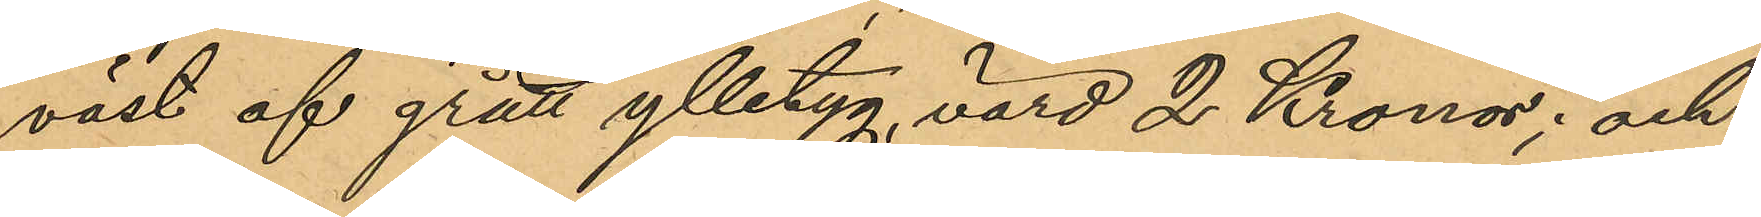väst af grått ylletyg, värd 2 Kronor; och
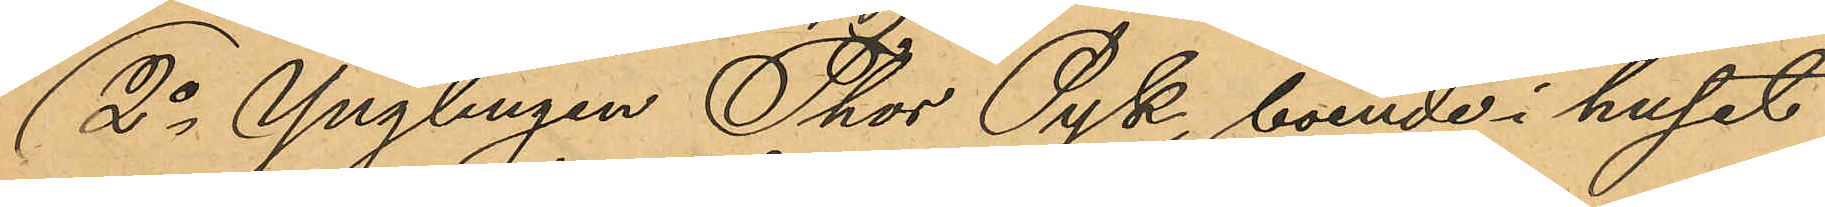2o Ynglingen Thor Pyk, boende i huset
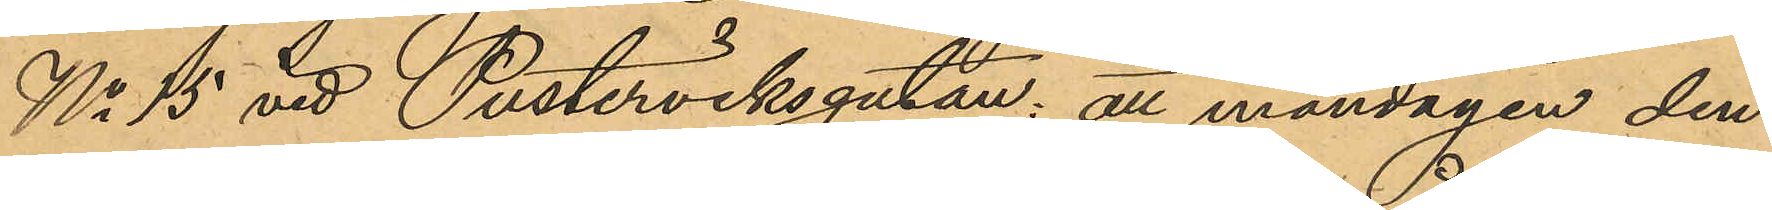No 15 vid Pusterviksgatan: att måndagen den
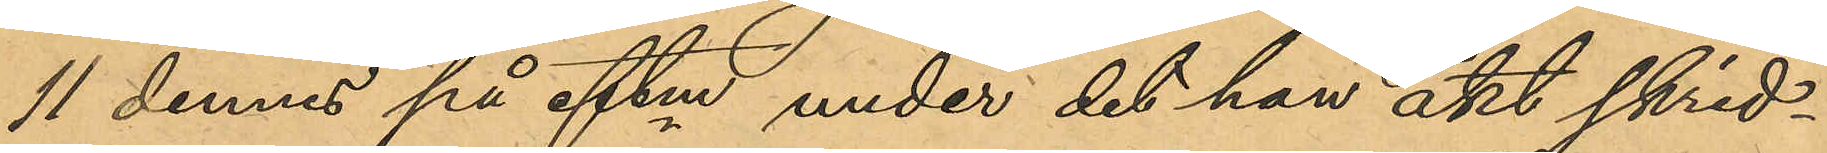11 dennes på eftm, under det han åkt skrid¬
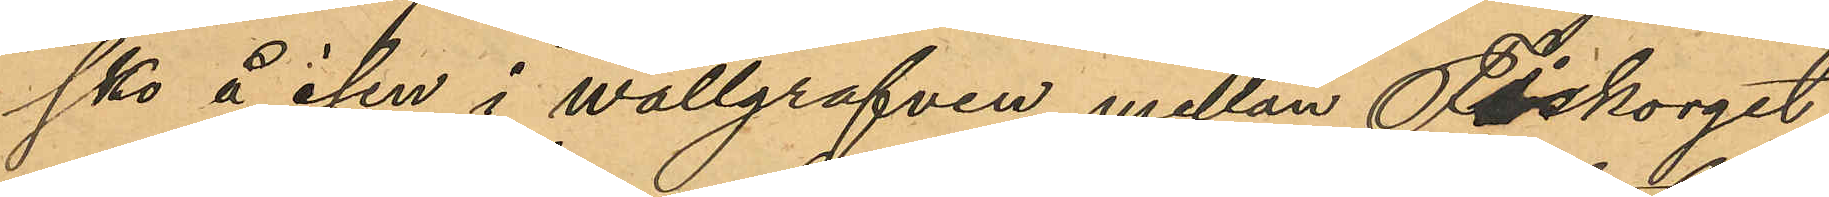sko å isen i wallgrafven mellan Fisktorget
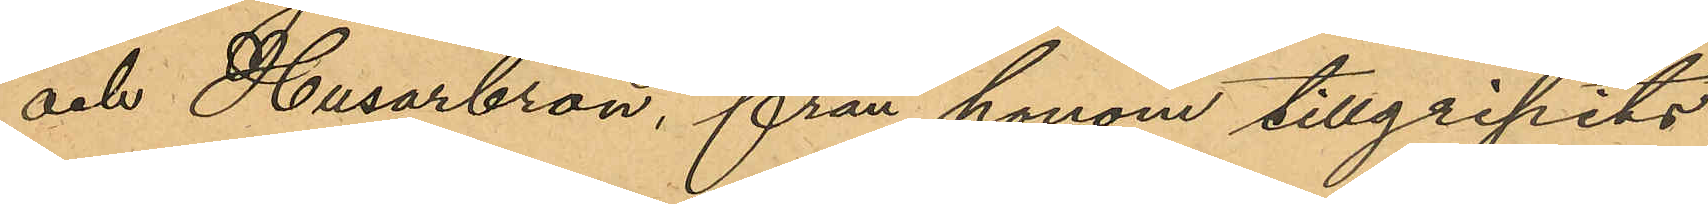och Husarbron, från honom tillgripits
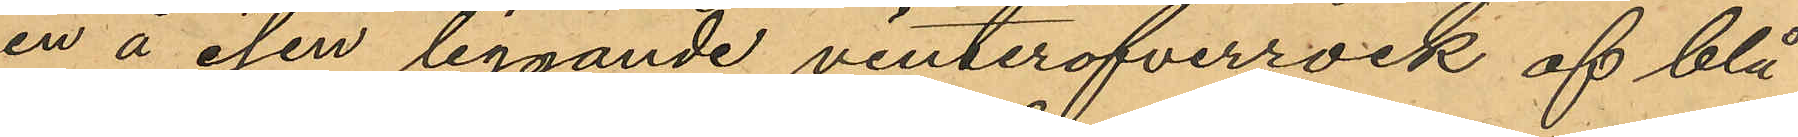en å isen liggande vinteröfverrock af blå
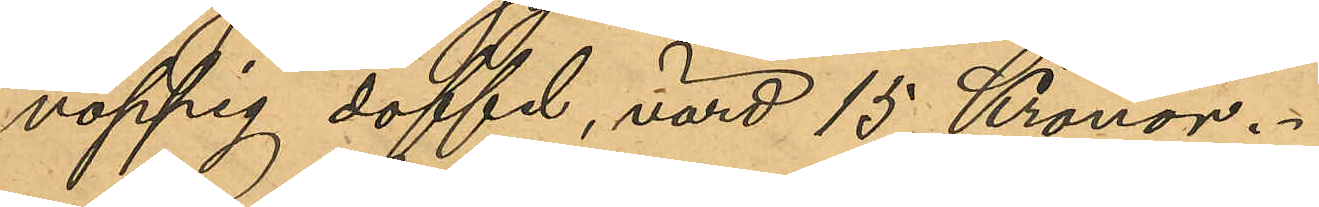noppig doffel, värd 15 Kronor.
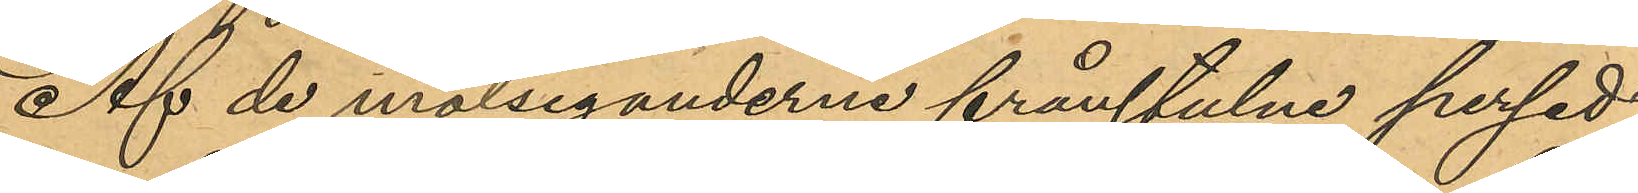Af de målseganderne frånstulne persed¬
